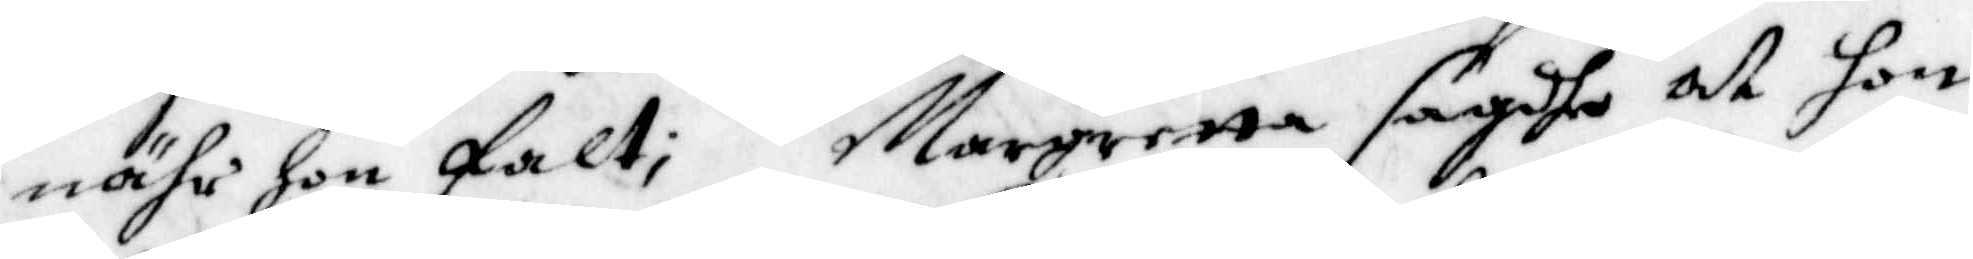nähr hon falt; Margaretta sagde at hon
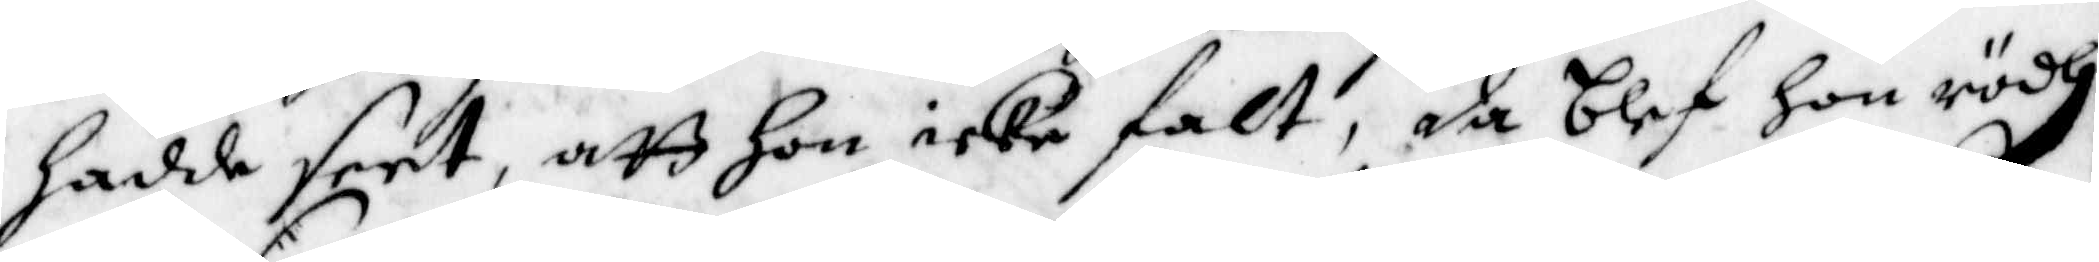Hadde seet, att Hon icke falt, da blef hon rödh
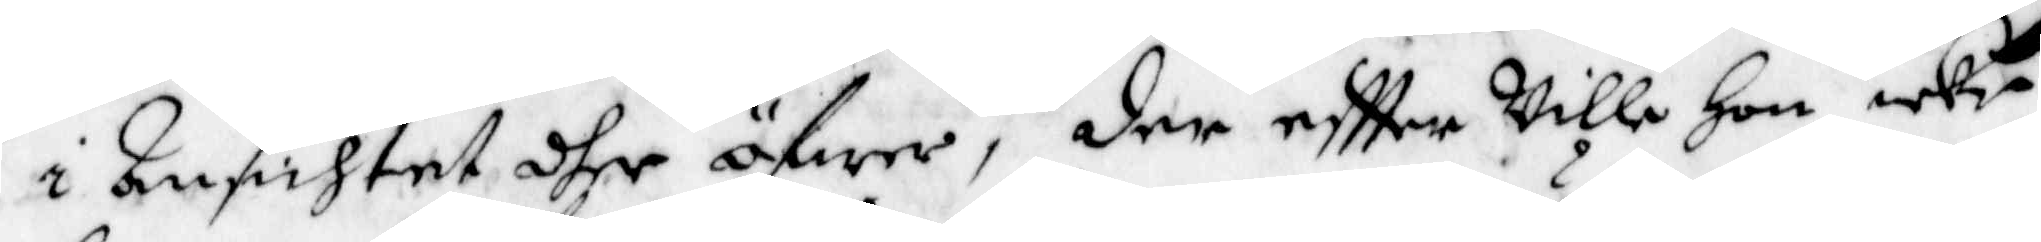i Ansichtet dher öfwer, der eftter wille Hon icke
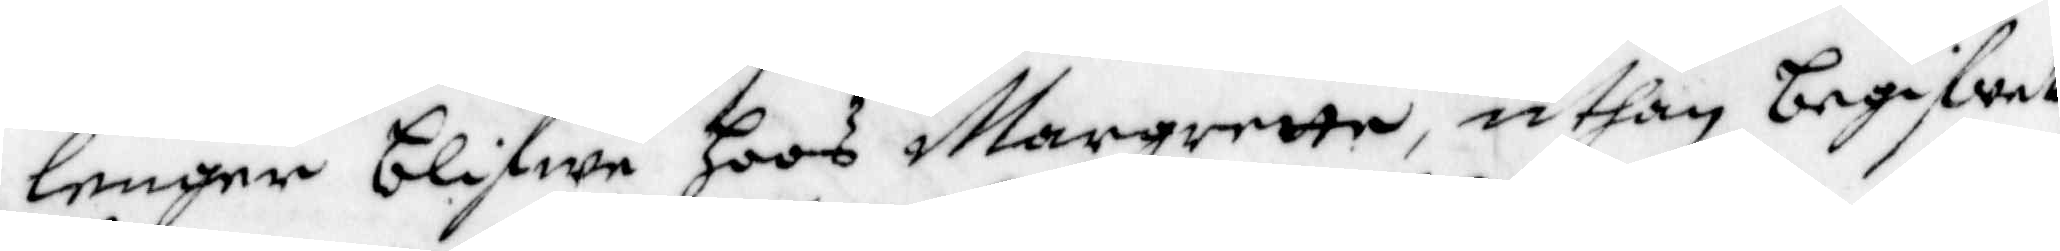lenger blifwa hoos Margrette, uthan begifwet
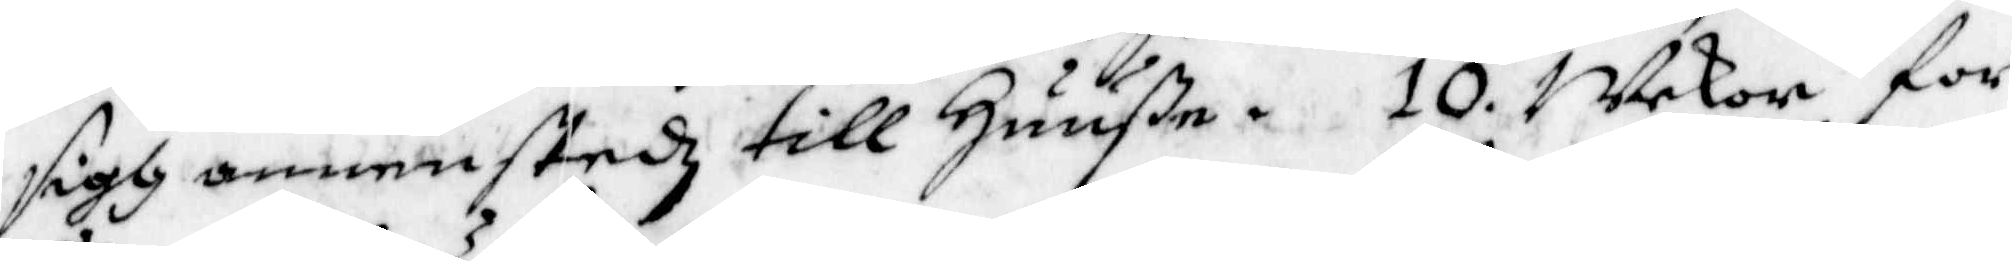sigh annanstedz till Huuße. 10. Wekor för
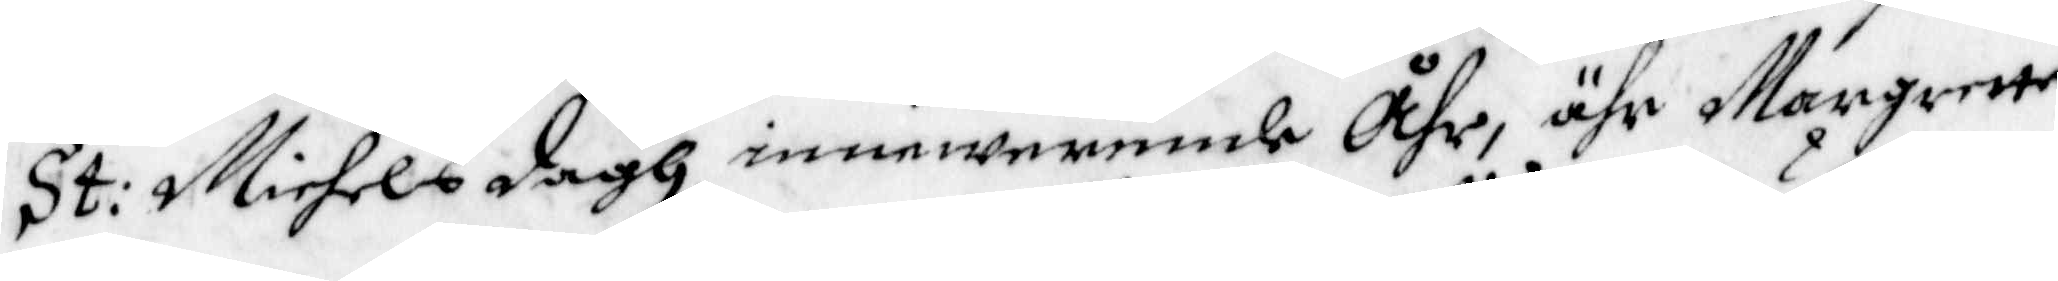St: Michels dagh innewerande Åhr, ähr Margrette
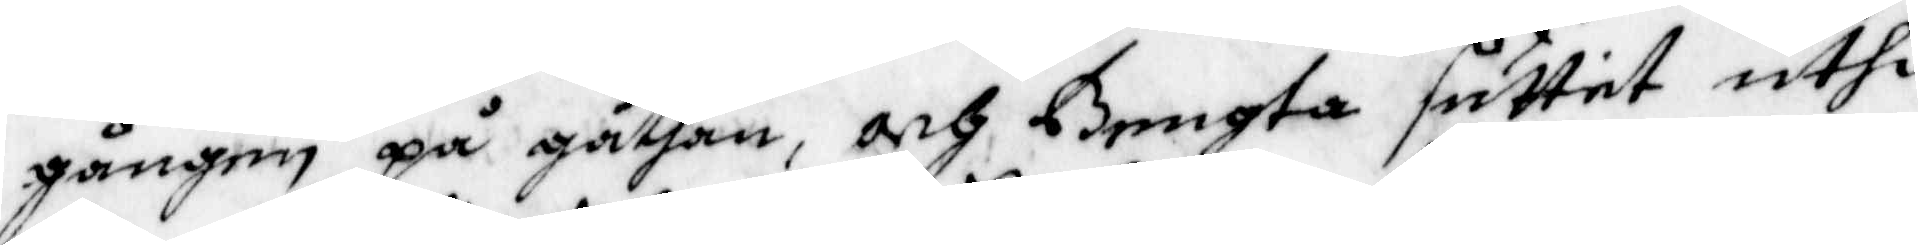gången på gathan, och Bengta suttet uthi
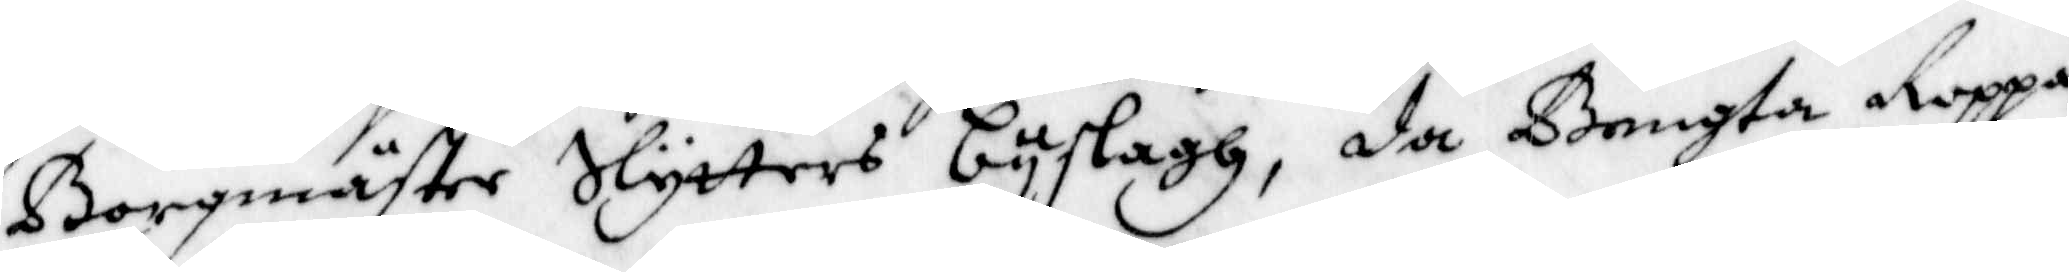Borgmäster Slytters byslagh, da Bengta Roppa¬
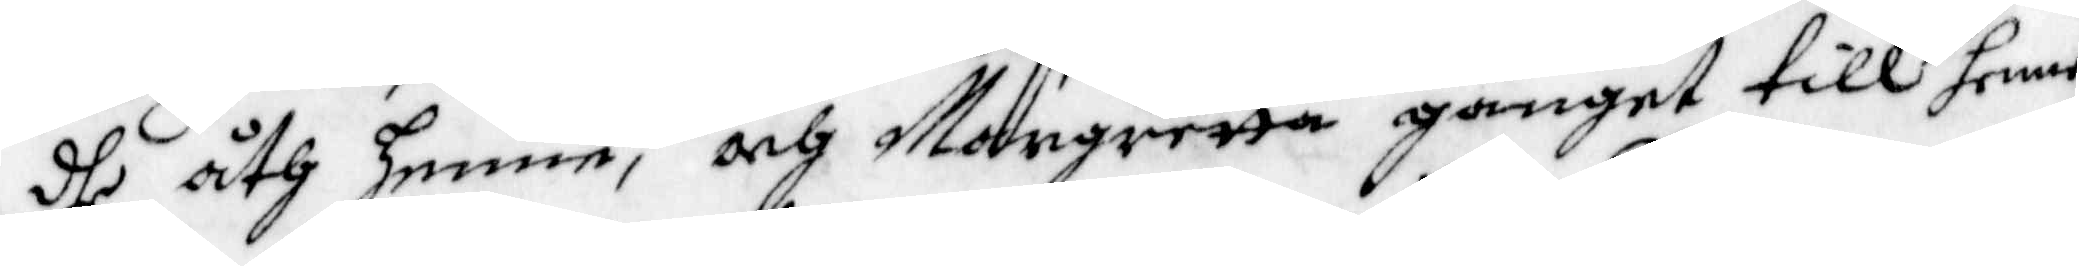dhe åth henne, och Margretta ganget till henne,
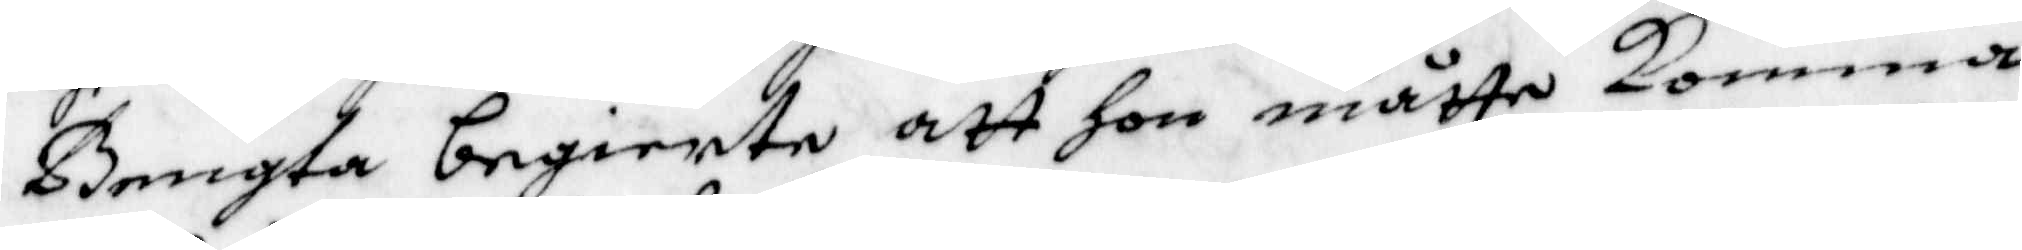Bengta begiärte att hon måtte Komma
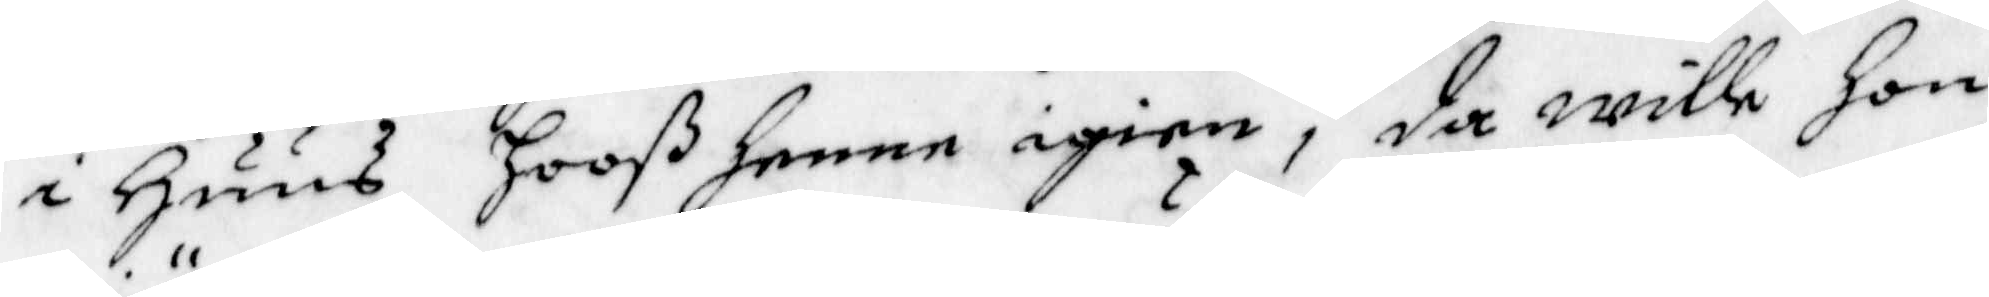i Huus Hooß henne igen, då wille Hon
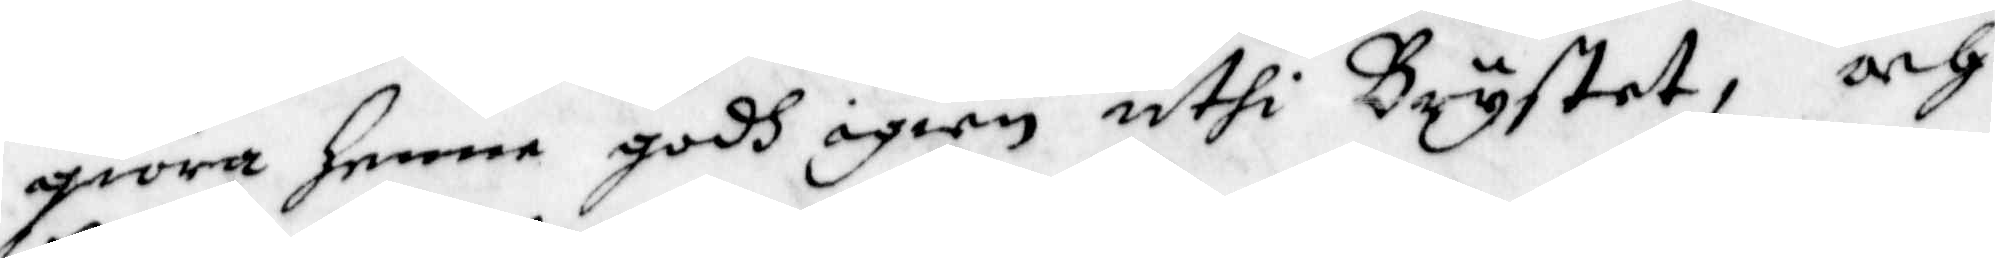giöra henne godh igen uthi Brystet, och
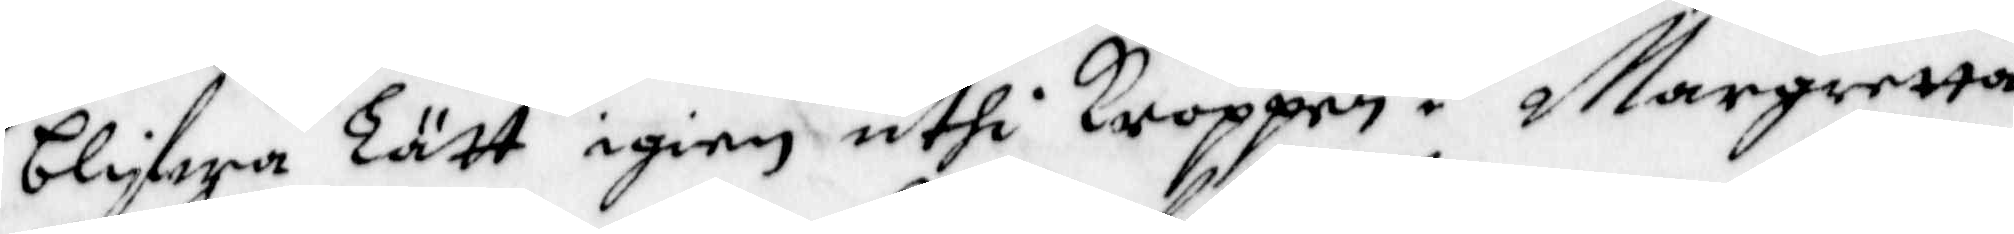blifwa Lätt igien uthi Kroppen. Margretta
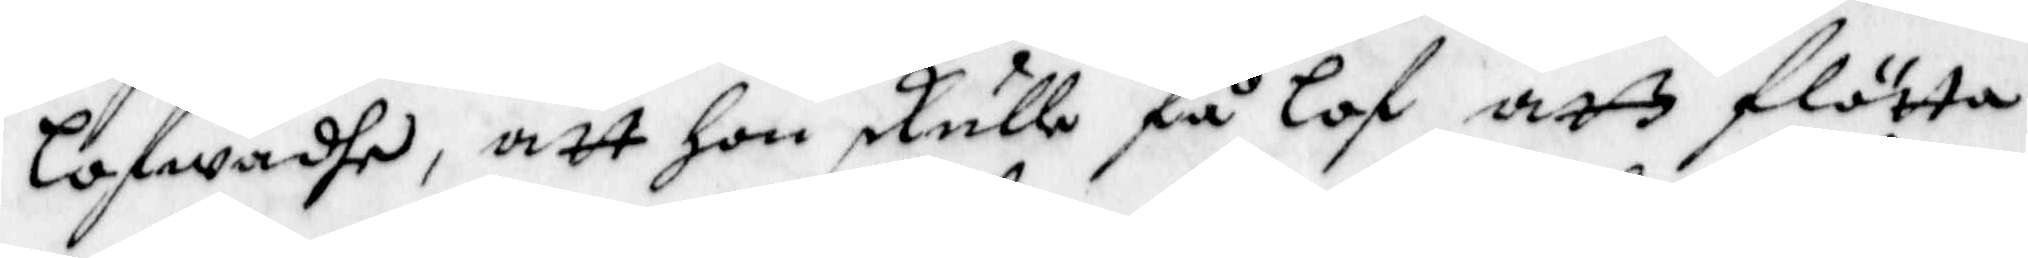lofwadhe, att Hon skulle få lof att flötta
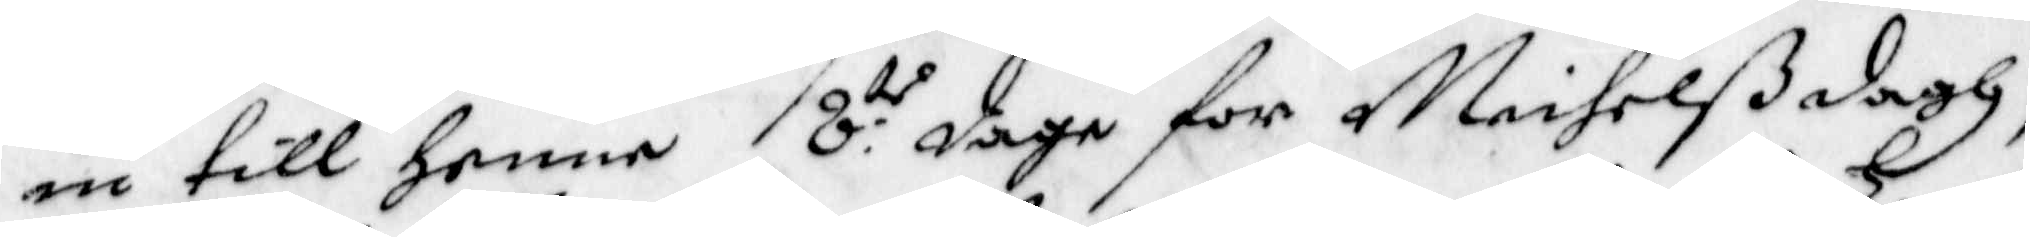in till henne 8:do dage for Michelßdagh,
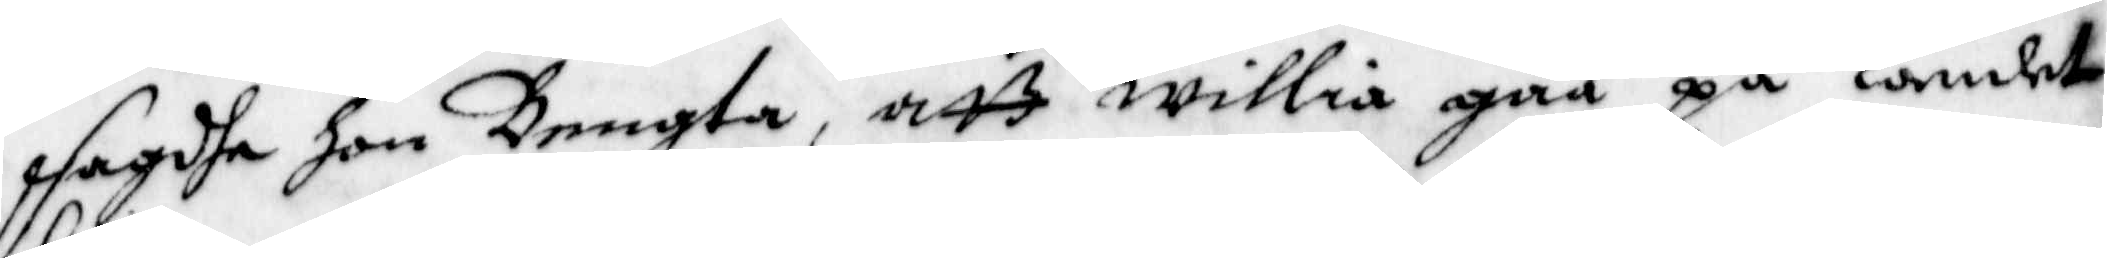sagde hon Bengta, att willia gåå på Landet
